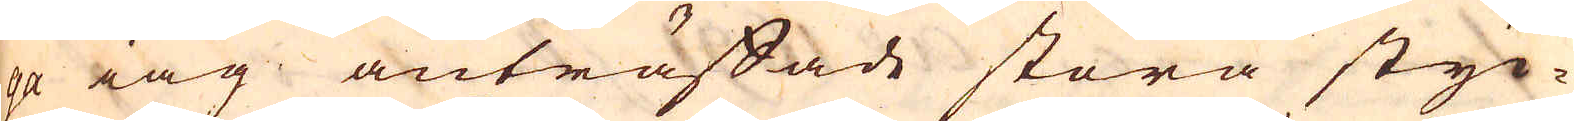ga iag anträffade stora styc-
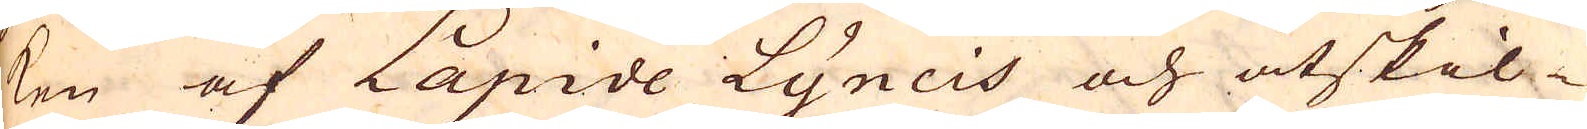ken af Lapide Lyncis och åtskil-
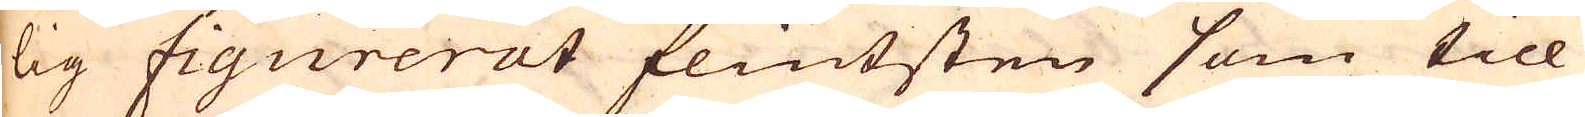lig fiqurerat flintsten som till
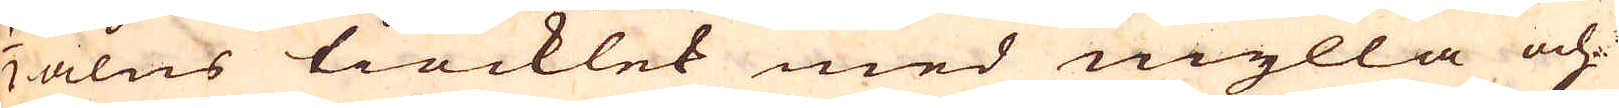1/2 alns tiocklek med mylla och
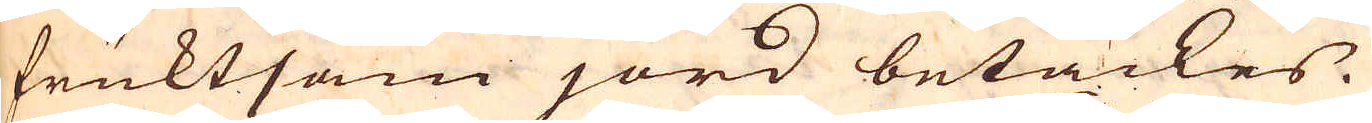fruktsam jord betäckes.
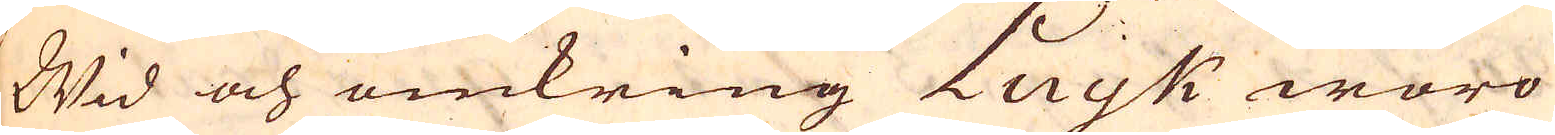Wid och omkring Luyk woro
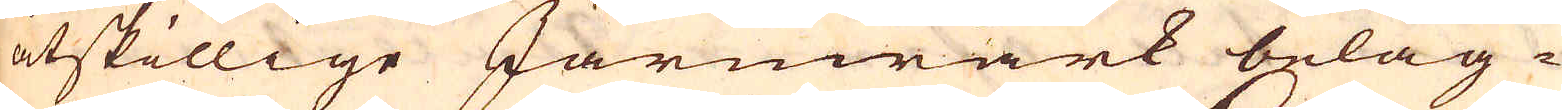åtskillige Järnwärk beläg-
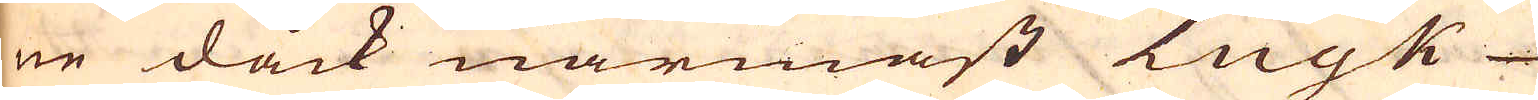ne dåck närmast Luyk
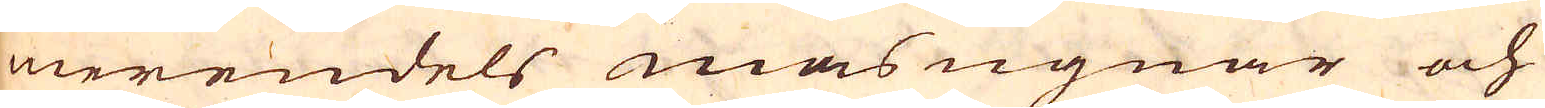merendels masugnar och
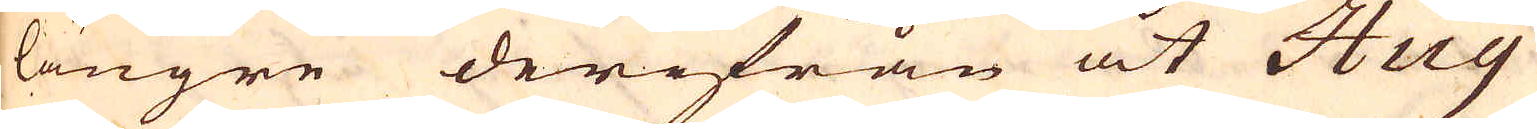längre derifrån åt Huy
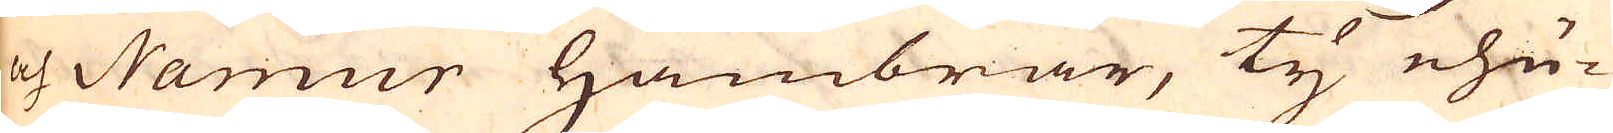och Namur Hambrar, ty ehu-
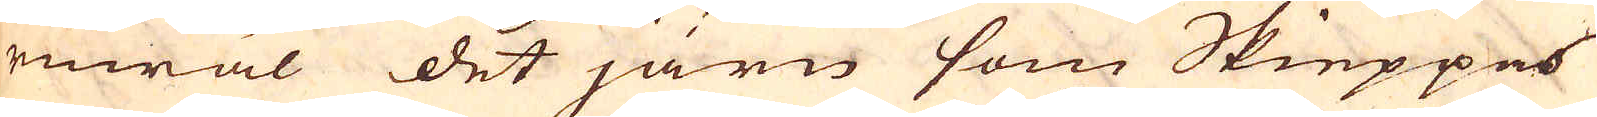ruwäl det järn som Skieppes
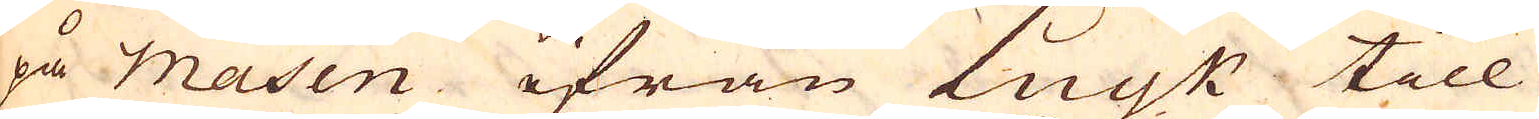på Masen ifrån Luyk till
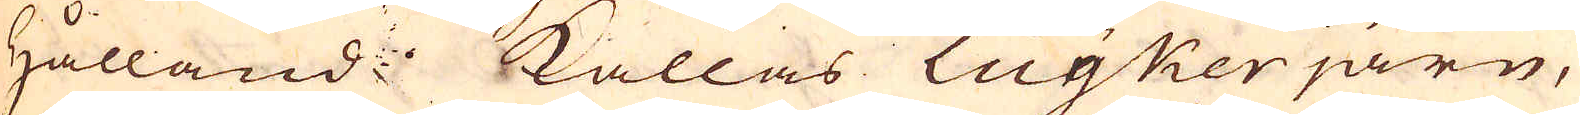Hålland: kallas Luyker järn,
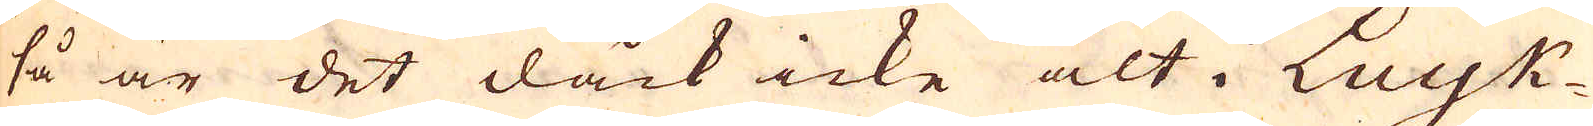så är det dåck icke alt i Luyk-
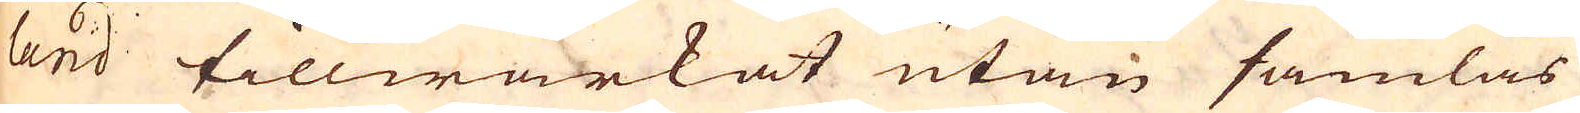land tillwärkat utan samlas
